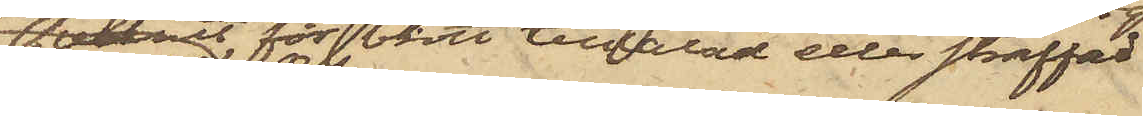varit för brott tilltalad eller straffad
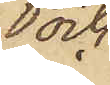och
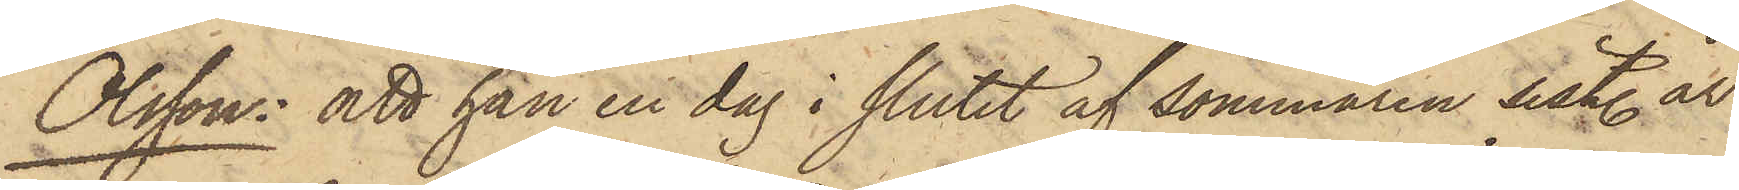Olsson: att han en dag i slutet af sommaren sistl. år
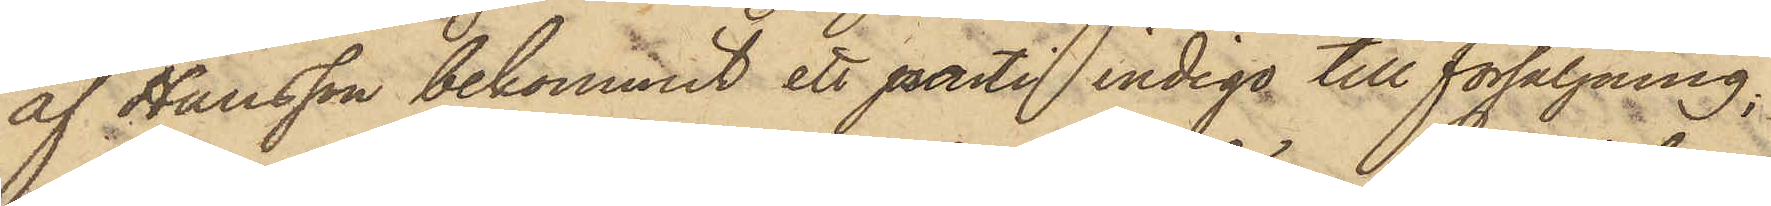af Hansson bekommit ett parti indigo till försäljning;
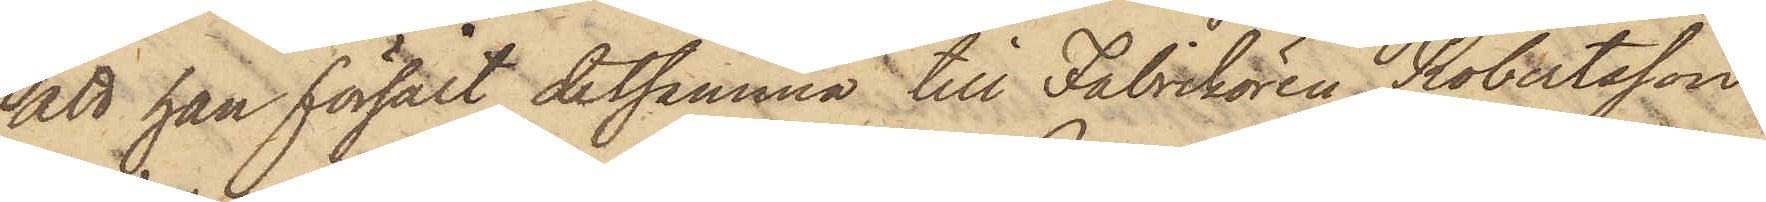att han försålt detsamma till Fabrikören Robertsson
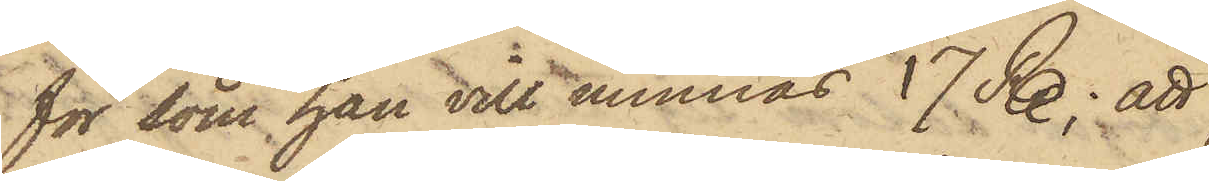för som han vill minnas 17 R.; att
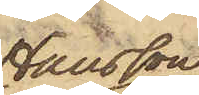Hansson
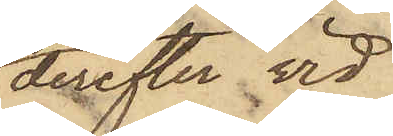derefter vid
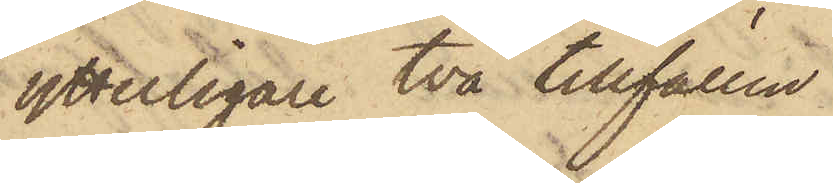ytterligare två tillfällen
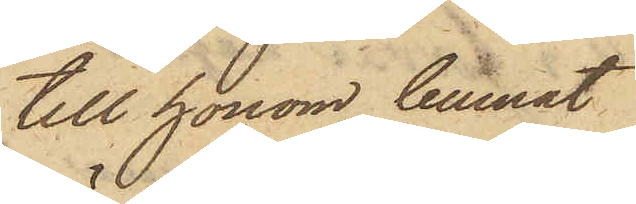till honom lemnat
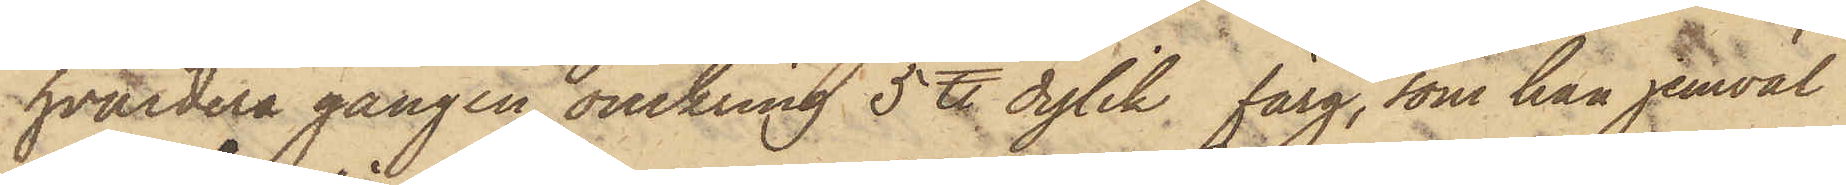hvardera gången omkring 5 ℔ dylik färg, som han jemväl
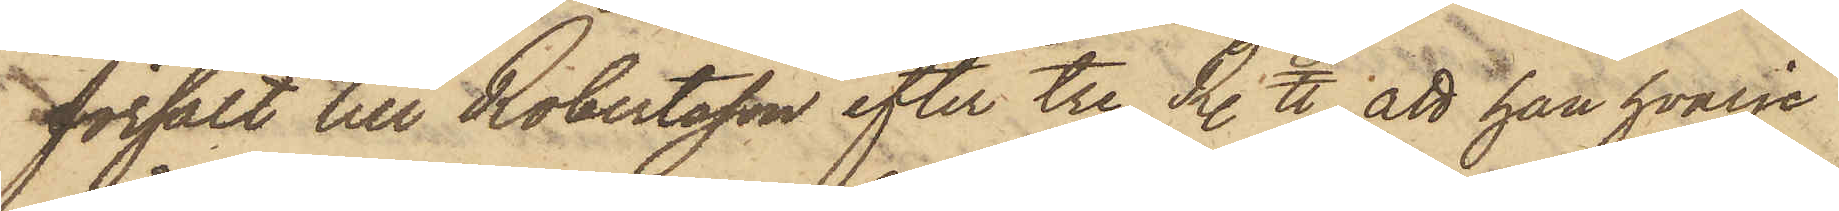försålt till Robertsson efter tre R. ℔; att han hvarje
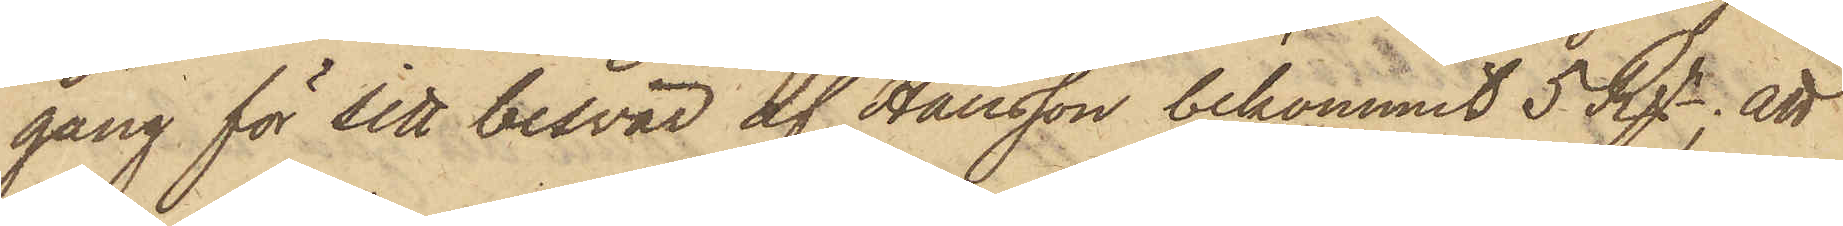gång för sitt besvär af Hansson bekommit 5 Rgr; att
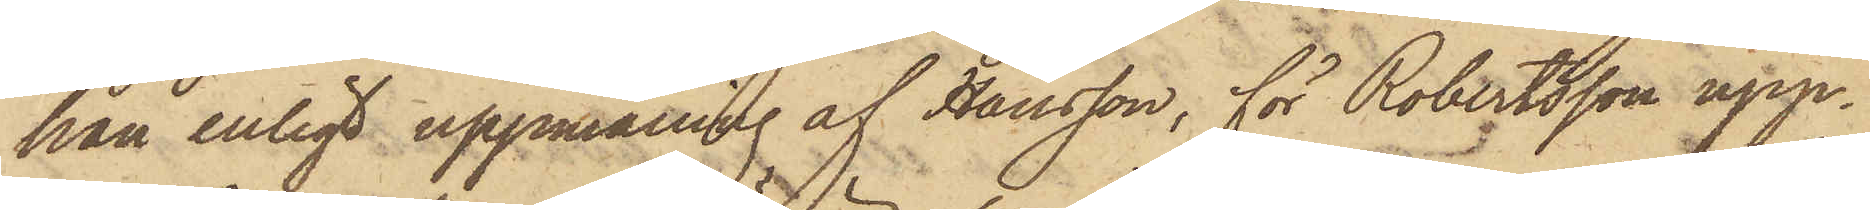han enligt uppmaning af Hansson, för Robertsson upp¬
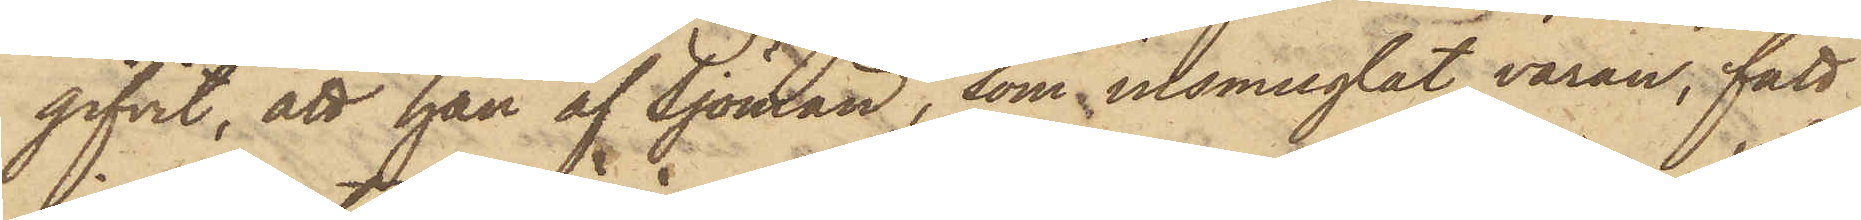gifvit, att han af Sjömän, som insmuglat varan, fått
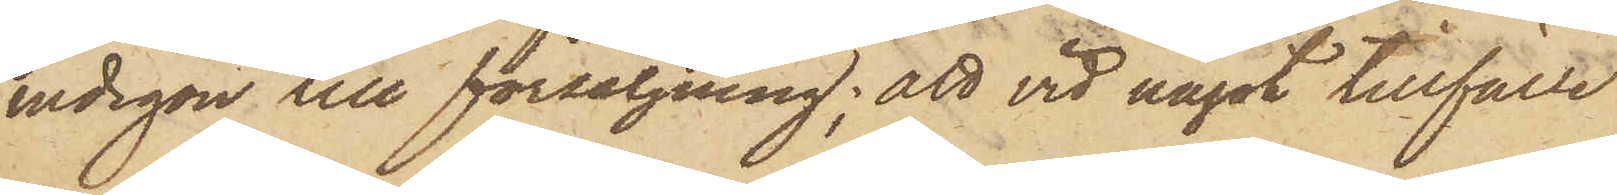indigon till försäljning; att vid något tillfälle
